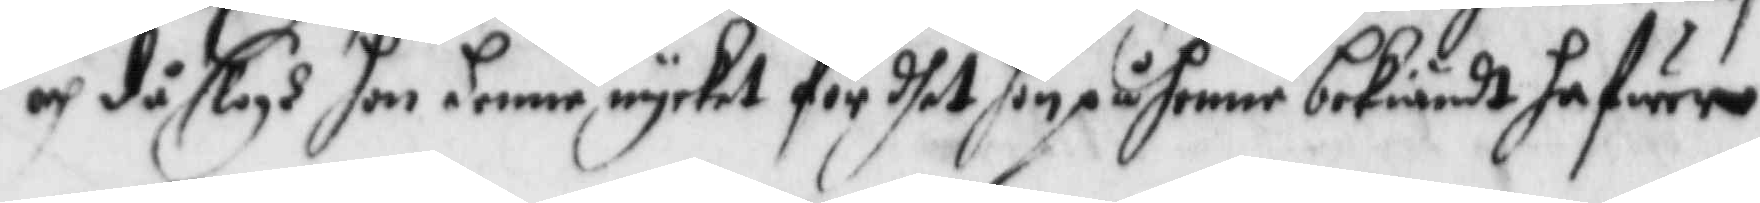och då slogh hon hennen mycket för dhet hon på hennen bekiändt hafwer
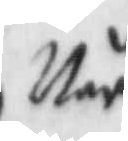Når
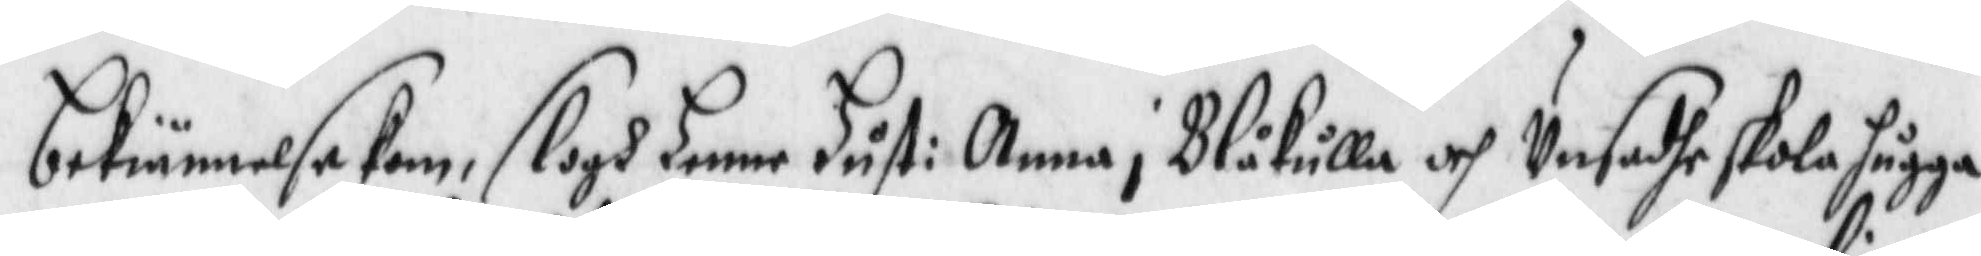bekiännelse kom, slogh hennen Hust: Anna i Blåkulla och Unsadhe skola hugga
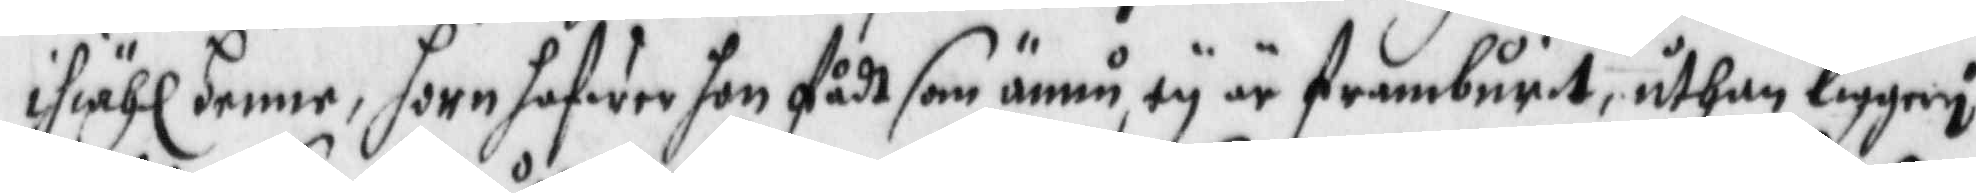ihiähl henne, horn hafwer hon fådt som ännu ey är framburit, uthan ligger i
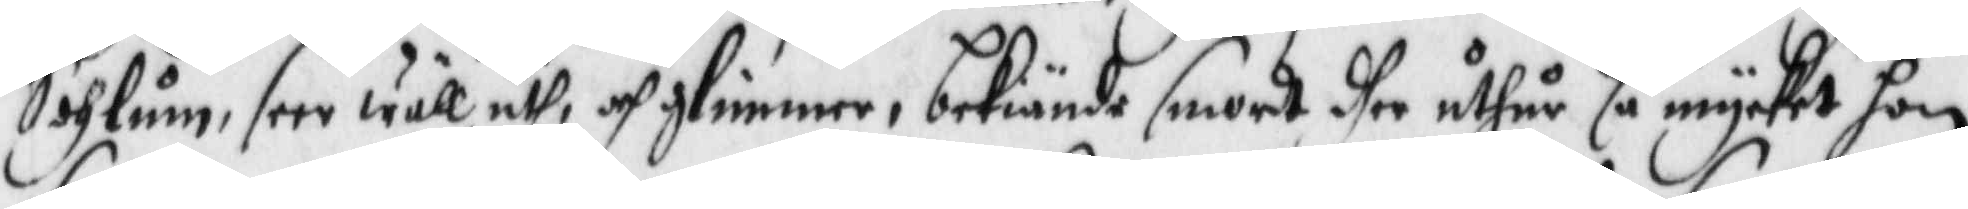Sohlum, seer wäll uth, och glimmer, bekiände smordt dher uthur så mycket hon
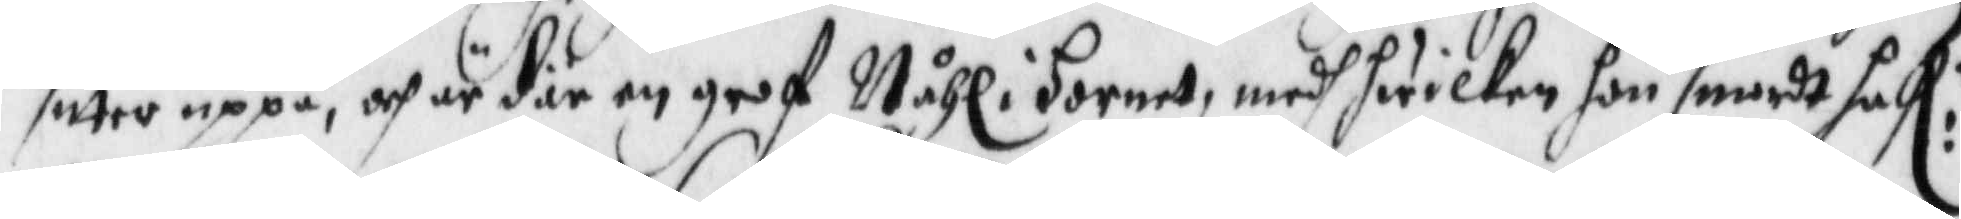sitter uppå, och är där en grof Nåhl i hornet, medh hwilken hon smordt haf:r
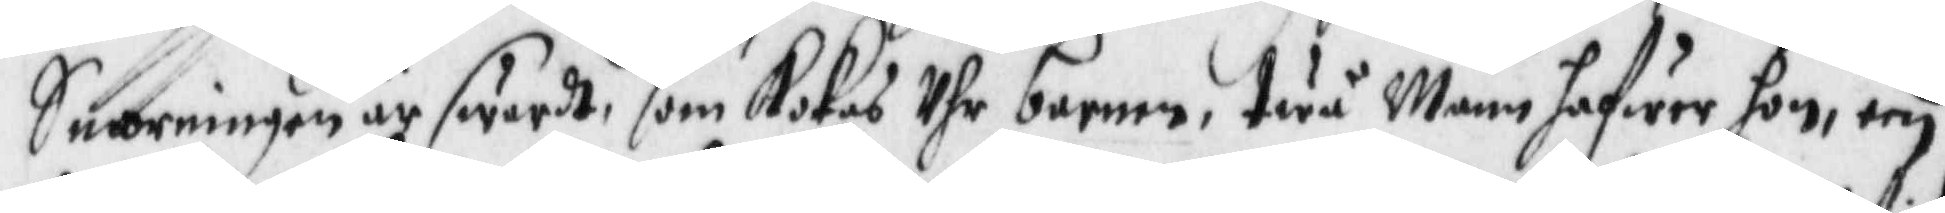Smorningen är sward, som Kokas Uhr barnen, twå Männ hafwer hon, een
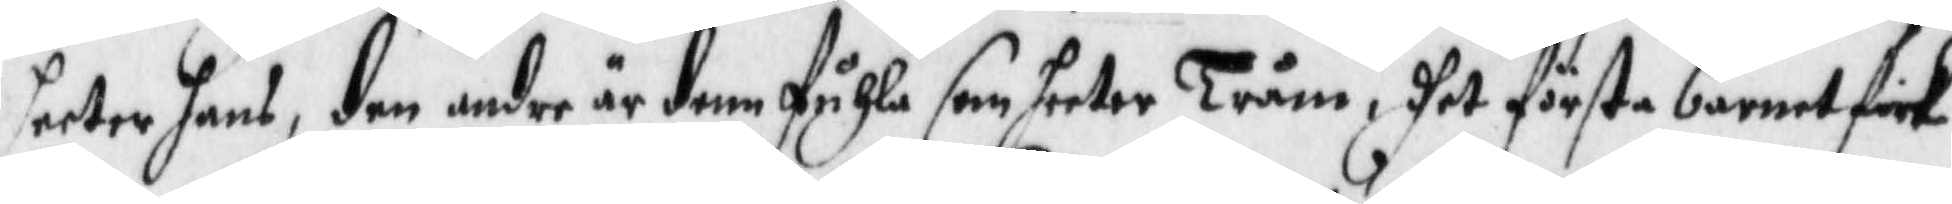heeter hans, den andre är denn fuhla som heeter Tråm,dhet första barnet fick
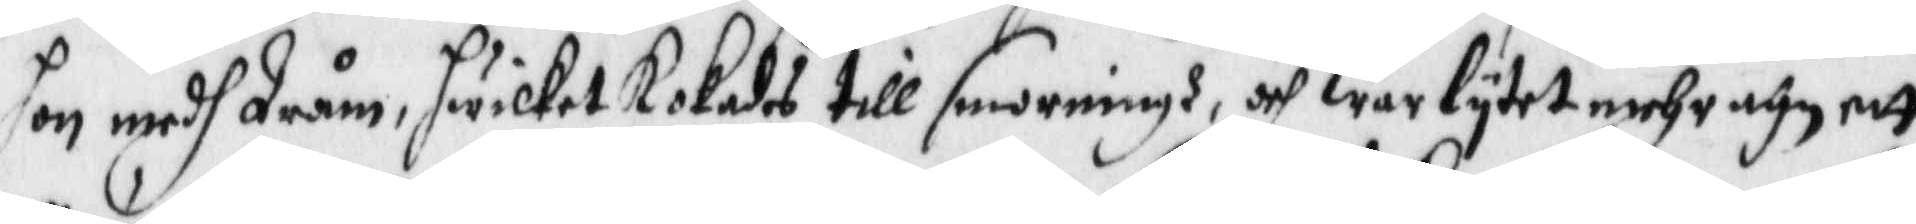hon medh Tråm, hwilket Kokades till sanningh, och war lytet mehr ähr ett
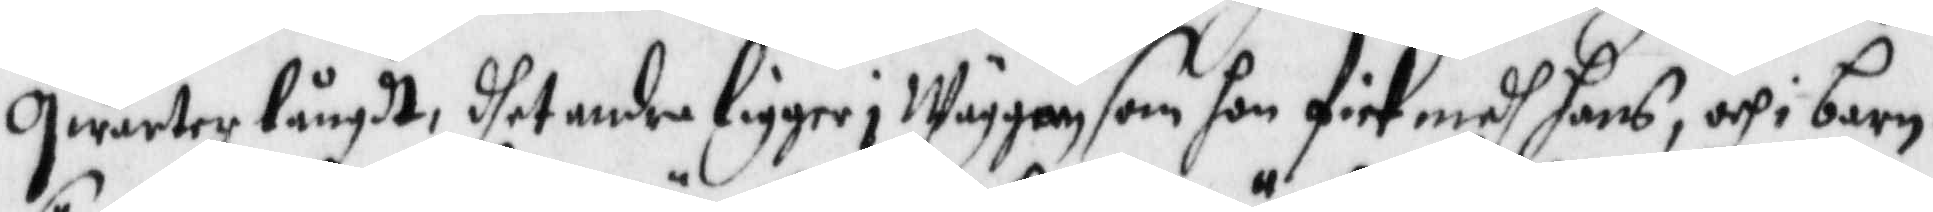qwarter långdt, dhet andra ligger i Wäggen som hon fick medh hans, och i barn¬
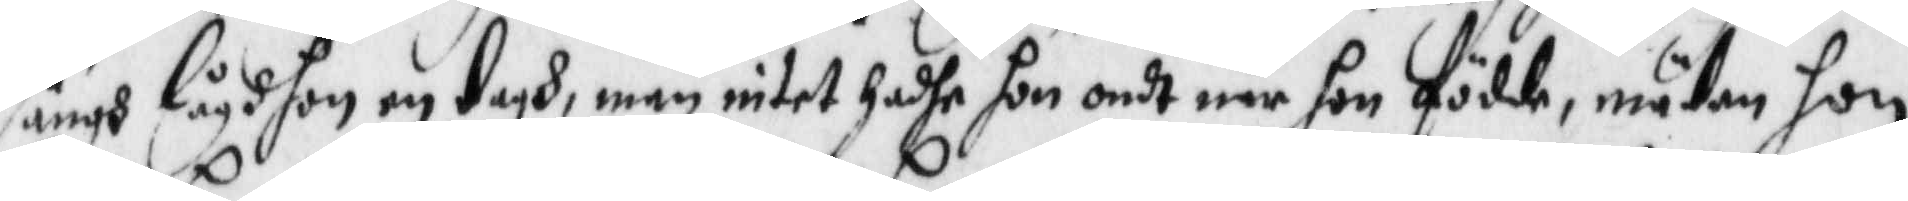sängh lågh hon en tagh, män intet hadhe hon ondt när hon födde, mädan hon
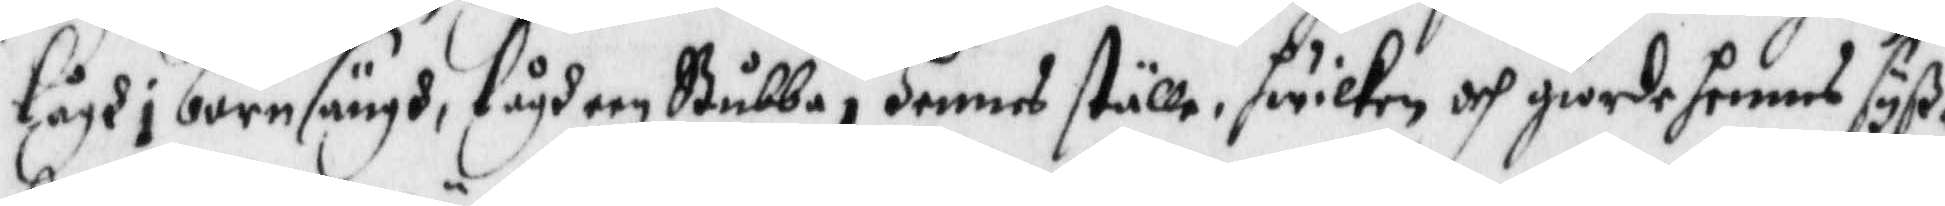lågh i barnsängh, lågh een Stubbe i hennes ställe, hwilken och giorde hennes syß¬
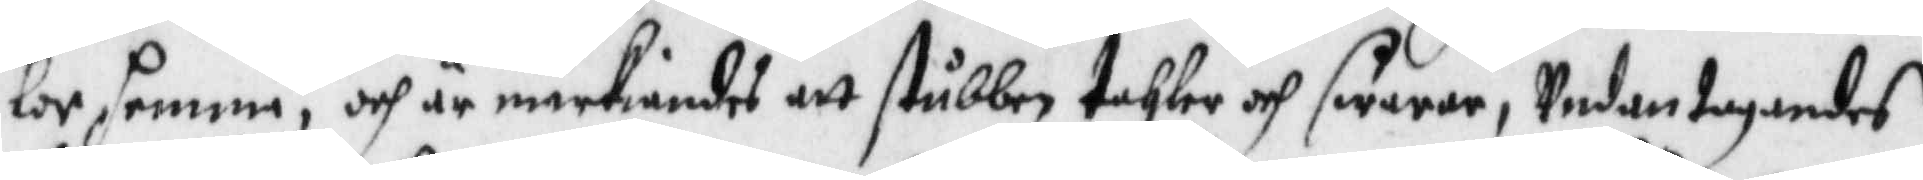lor hemma; och är märkiandes att stubben tahler och swarar, Undantagandes
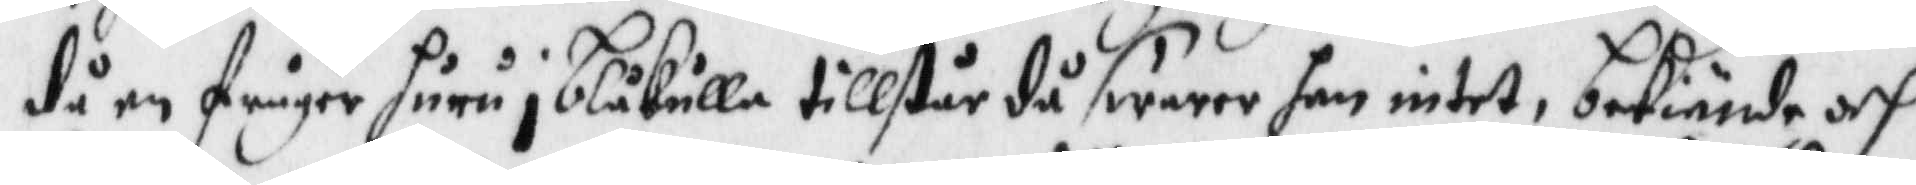då en frågor huru i Blåkulla tillstår då swarar hon intet, bekiände och
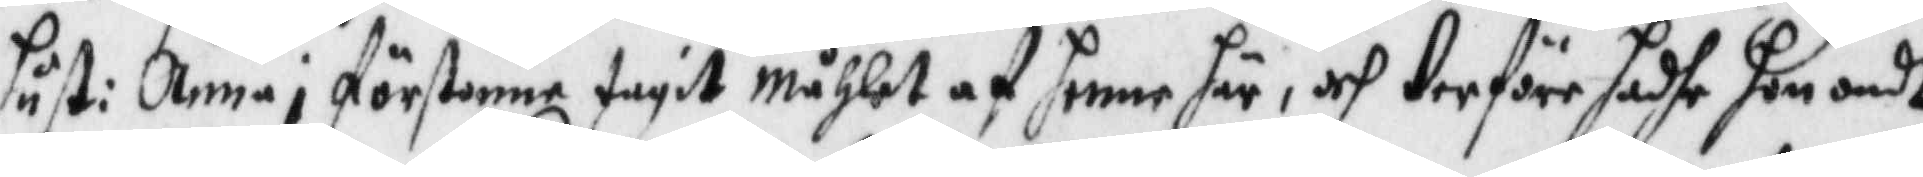hust: Anna i förstonne tagit måhlet af henne här, och therföre hadhe hon ondt
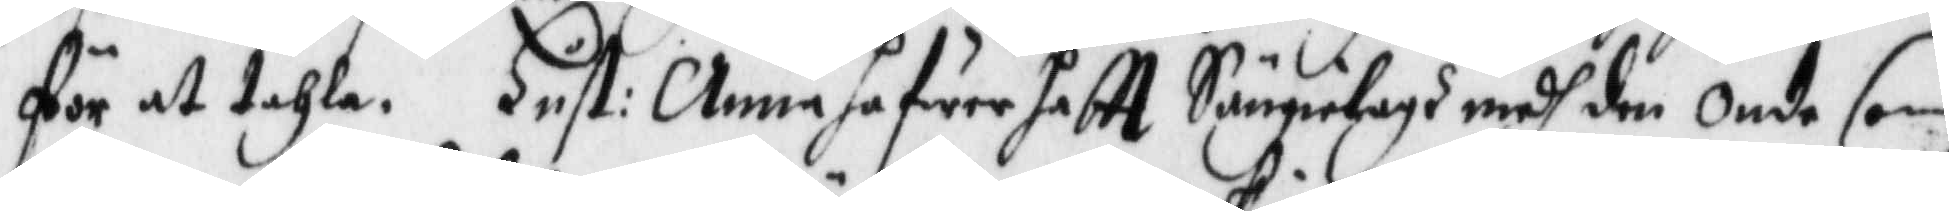för at tahla. Hust: Anna hafwer haftt Sängelagh medh den onde som
